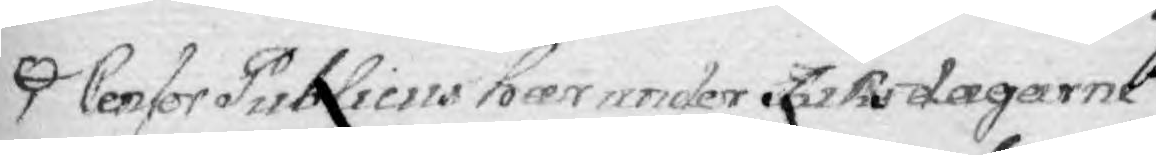Censor Publicus har under Riksdagarne
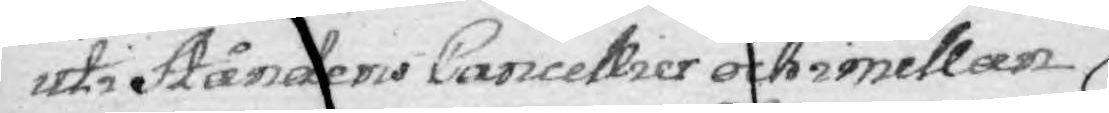uti Ståndens Cancellier och imellan
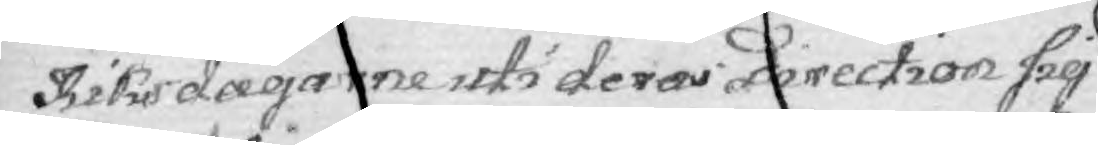Riksdagarne uti deras Direction sig
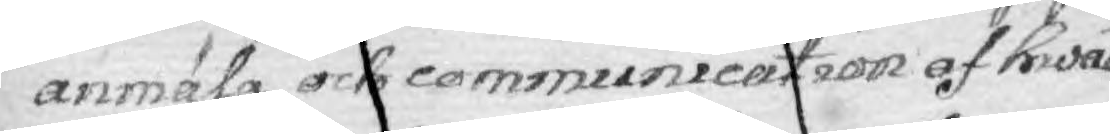anmäla, och communication af hwad
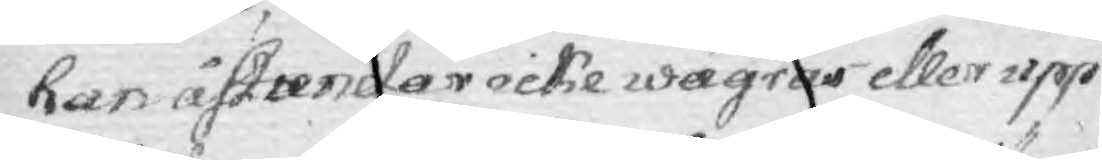han astundar icke wägras eller upp¬
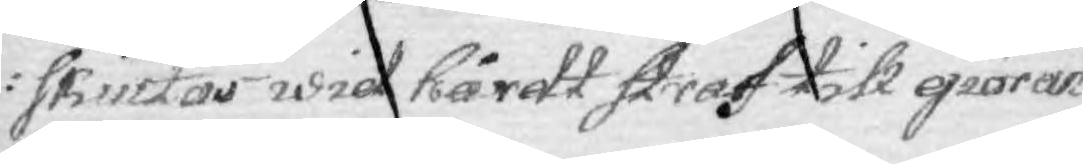skiutas wid hårdt straf till giöran¬
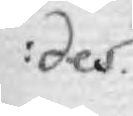des.
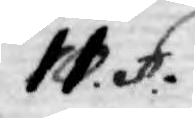11. §. 
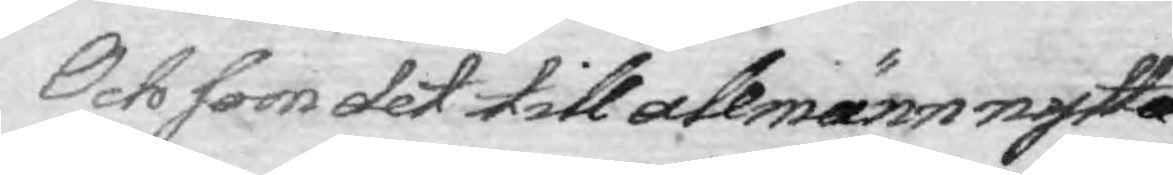Och som det till allmänn nytta
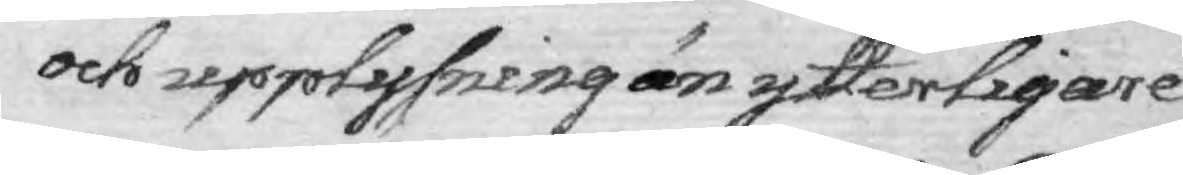och upplysning än ytterligare
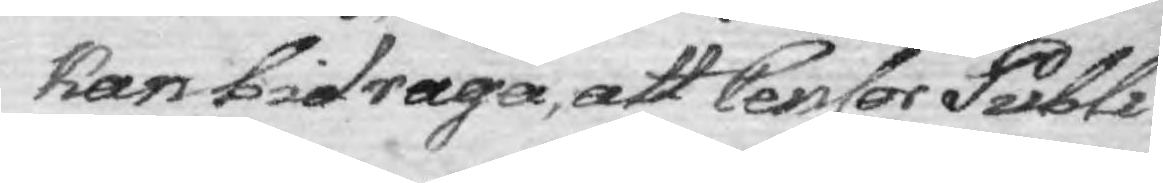kan bidraga, att Censor Publi¬
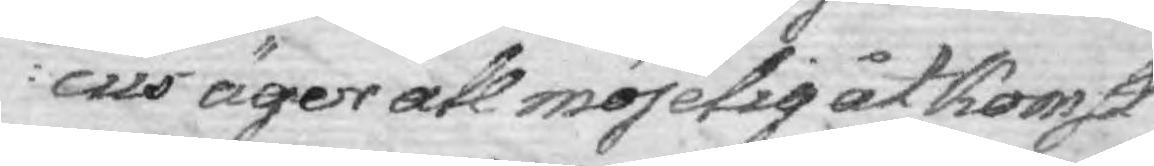cus äger all möjelig åtkomst
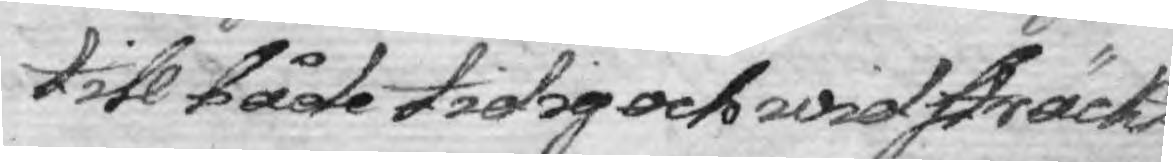till både tidig och widsträckt
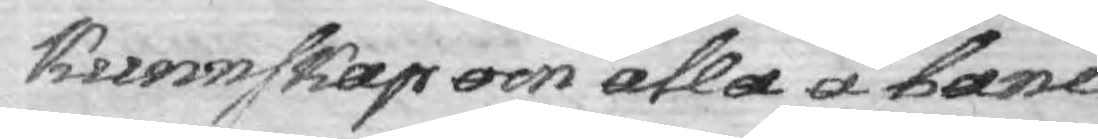Kunnskap om alla å bane
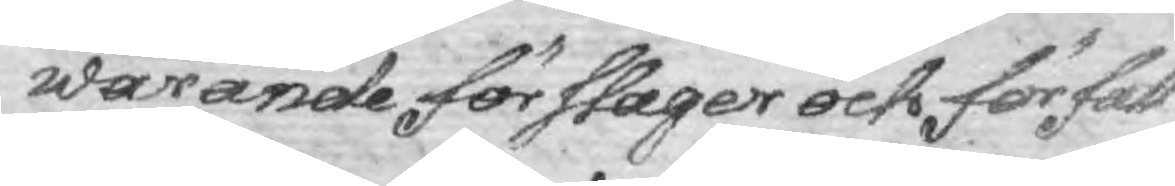warande förslager och författ¬
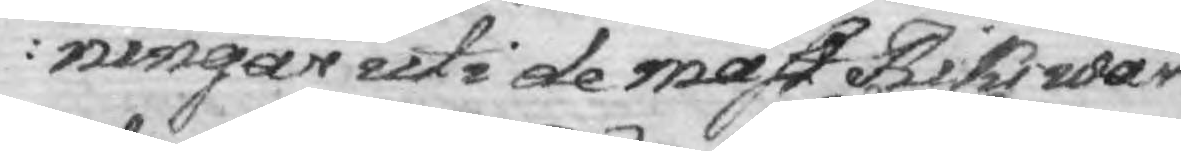ningar uti de mäst Riks wår¬
